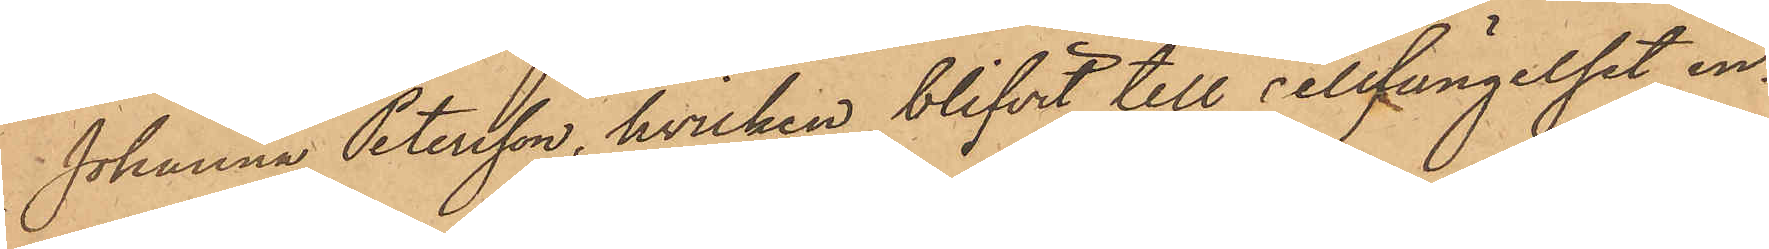Johanna Petersson, hvilken blifvit till cellfängelset in¬
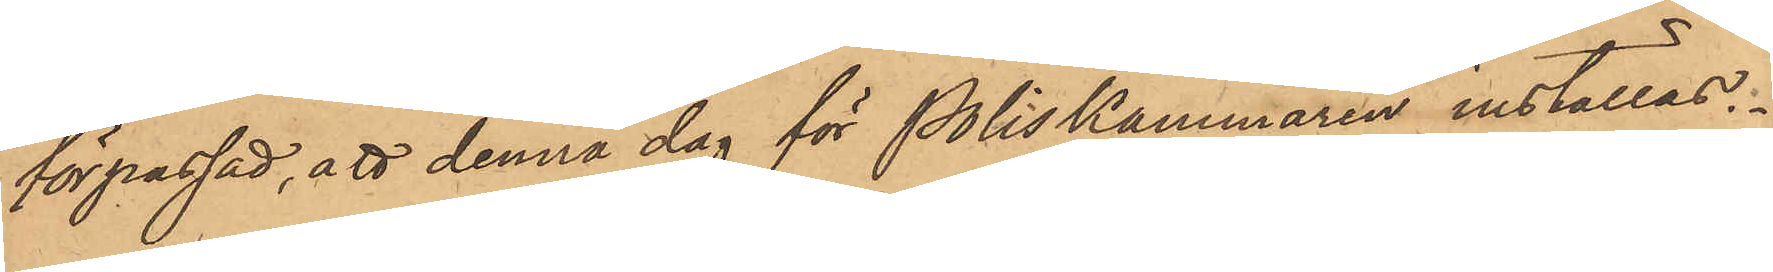förpassad, att denna dag för Poliskammaren inställas.
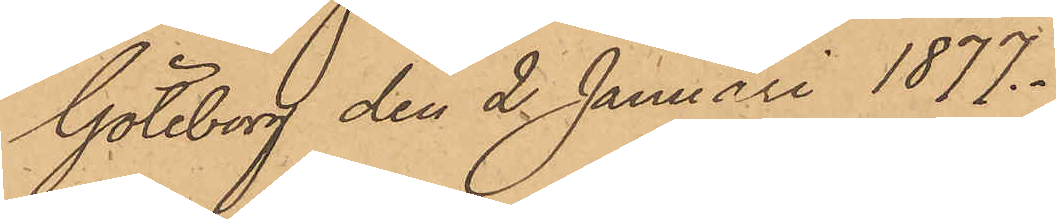Göteborg den 2 Januari 1877.
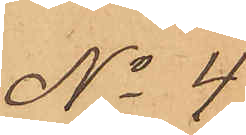No 4
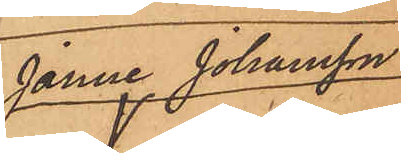Janne Johansson
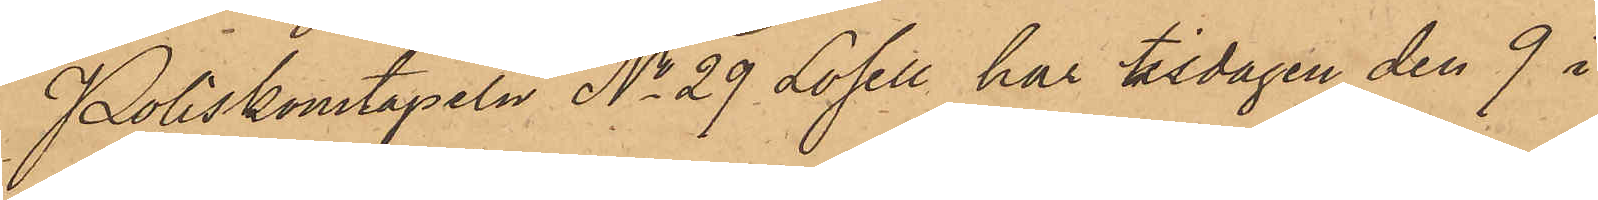Poliskonstapeln No 29 Losell har tisdagen den 9 i
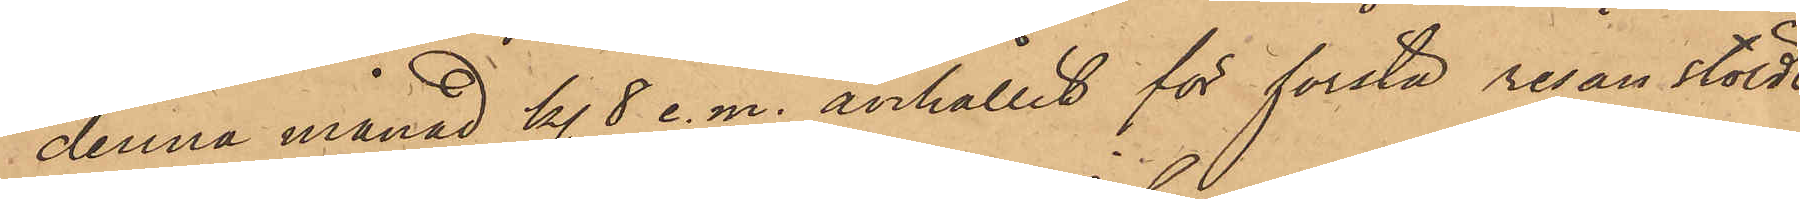denna månad kl. 8 e. m. anhållit för första resan stöld
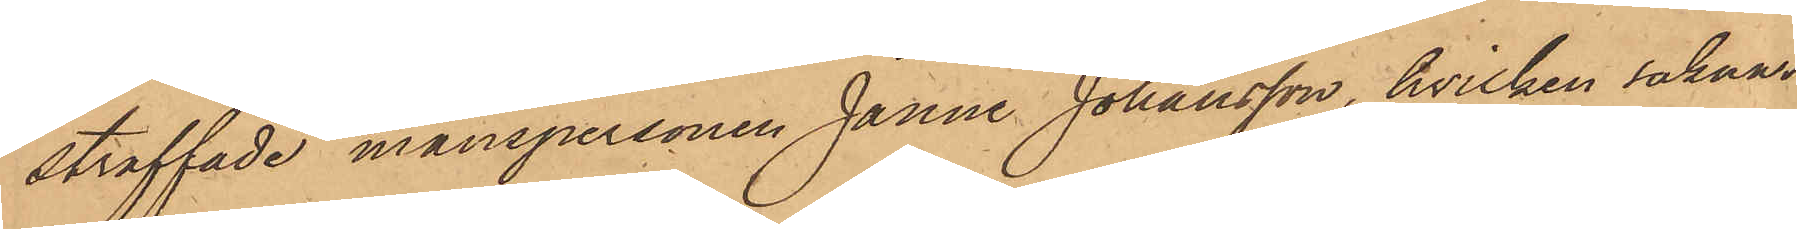straffade manspersonen Janne Johansson, hvilken saknar
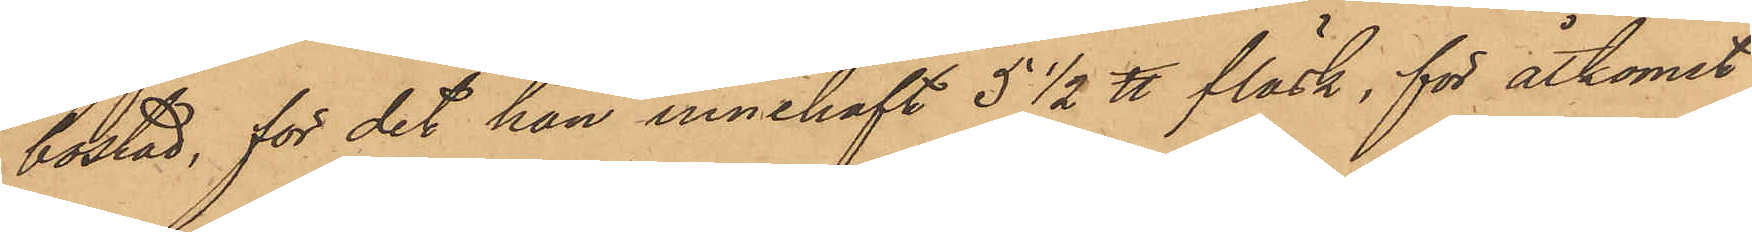bostad, för det han innehaft 5 1/2 ℔ fläsk, för åtkomst
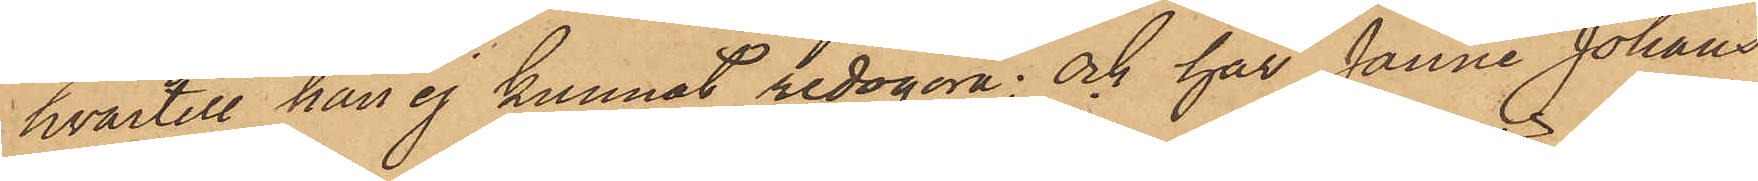hvartill han ej kunnat redogöra; och har Janne Johans¬
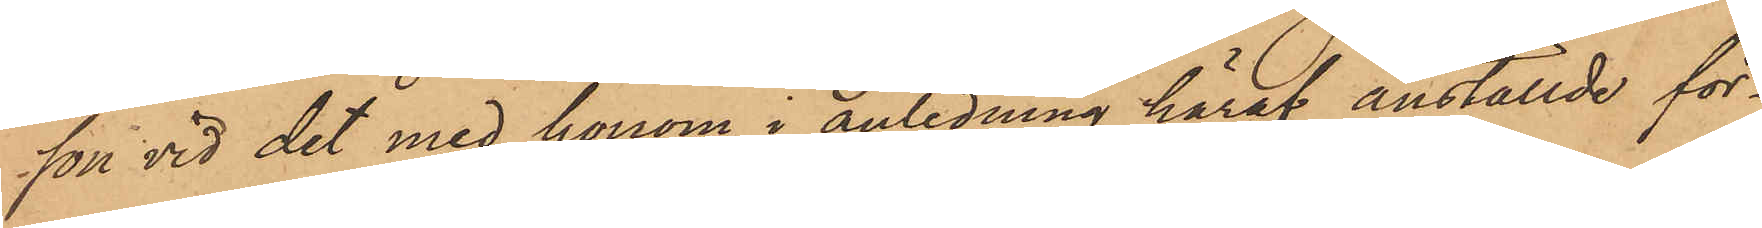son vid det med honom i anledning häraf anställde för¬
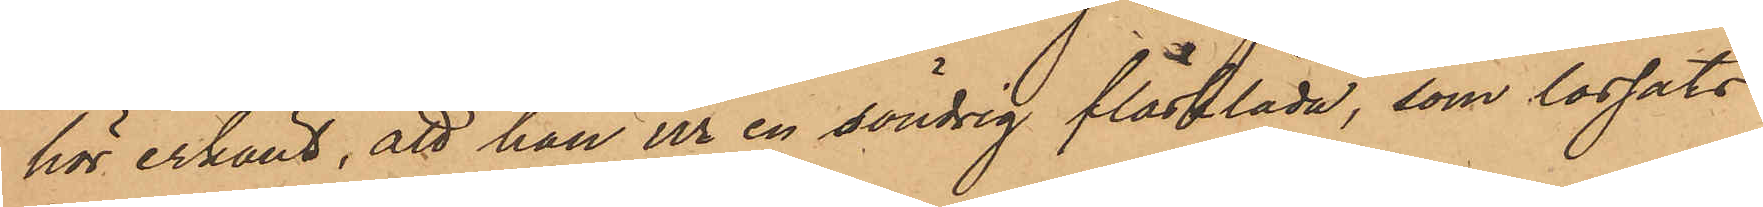hör erkänt, att han ur en söndrig fläsklåda, som lossats
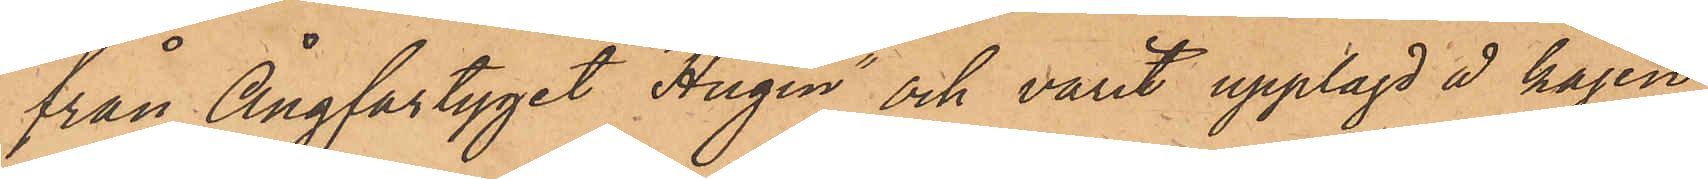från Ångfartyget "Hugin" och varit upplagd å kajen
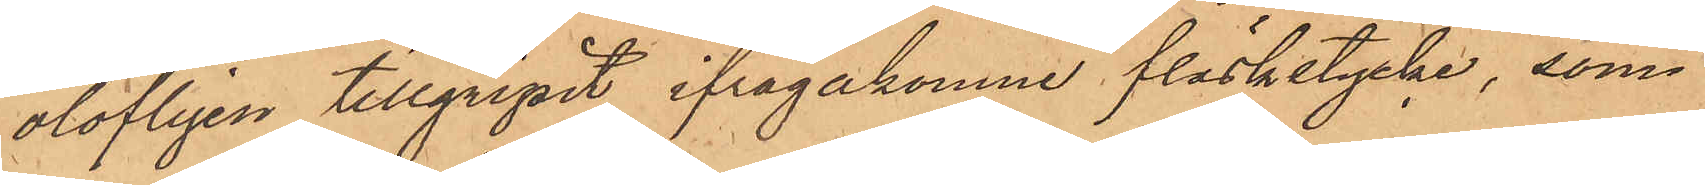olofligen tillgripit ifrågakomne fläskstycke, som
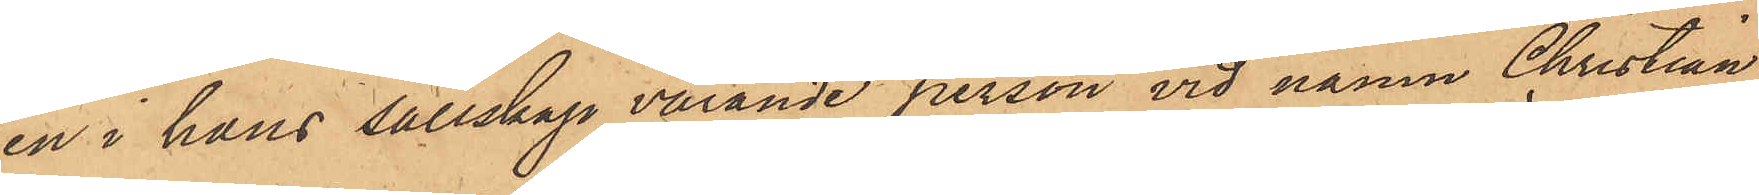en i hans sällskap varande person vid namn Christian
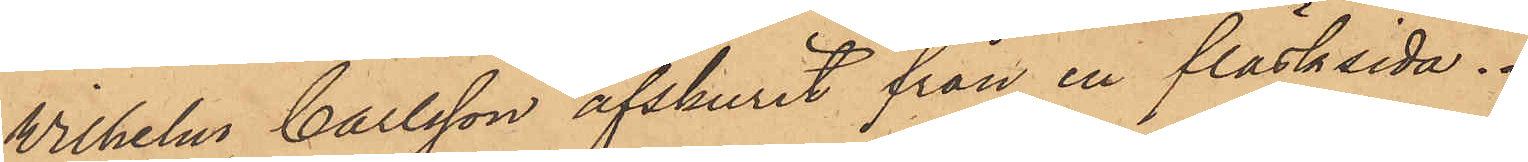Wilhelm Carlsson afskurit från en fläsksida.
